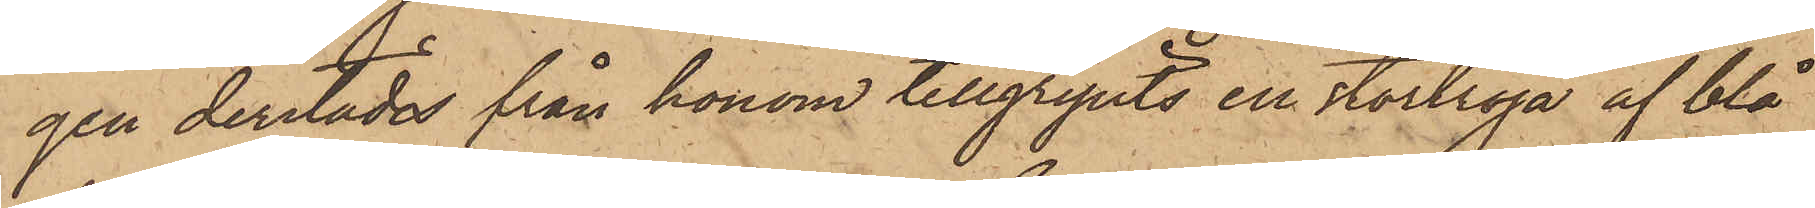gen derstädes från honom tillgripits en stortröja af blå
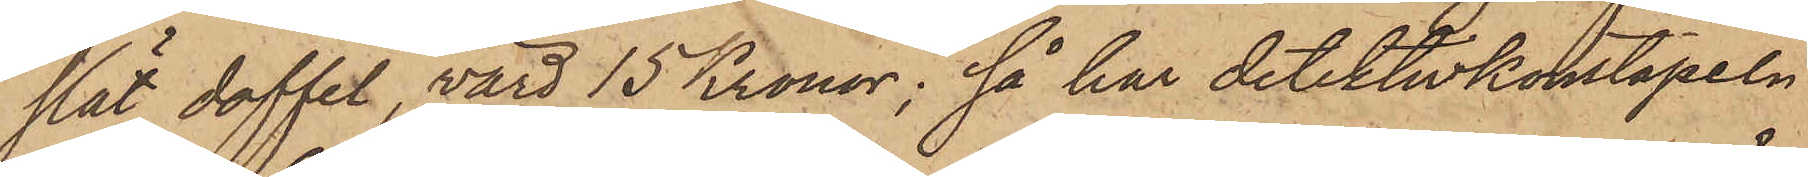slät doffel, värd 15 Kronor; så har detektivkonstapeln
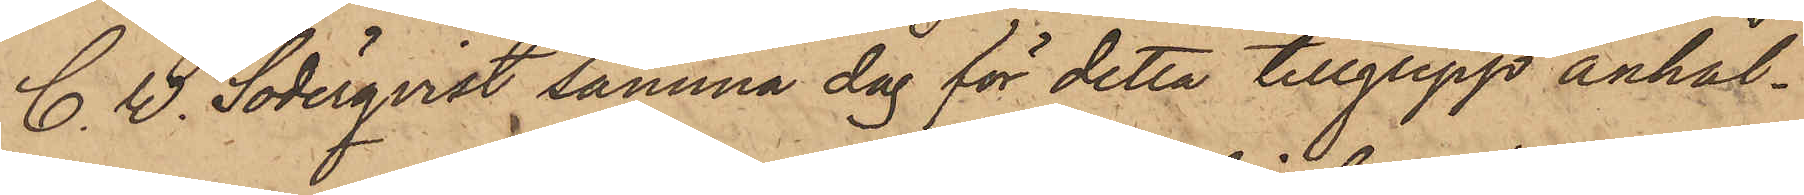C. W. Söderqvist samma dag för detta tillgrepp anhål¬
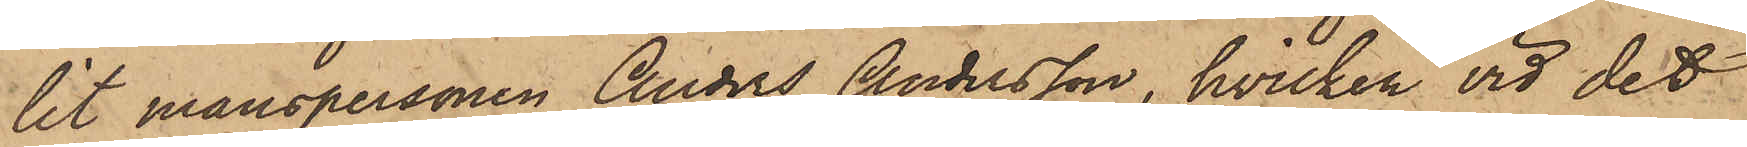lit manspersonen Anders Andersson, hvilken vid det
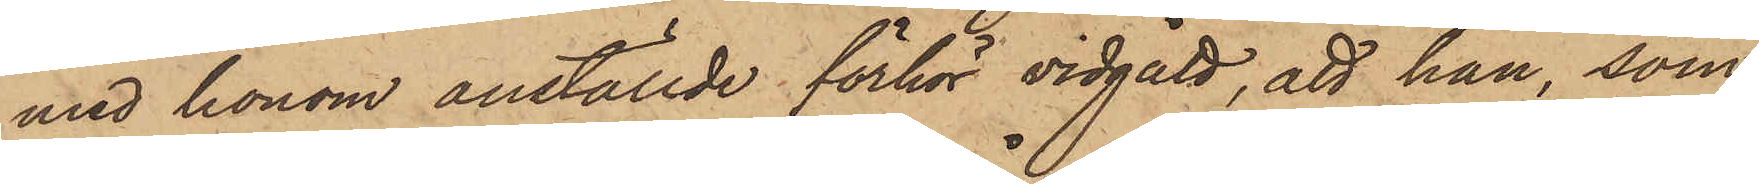med honom anställde förhör vidgått, att han, som
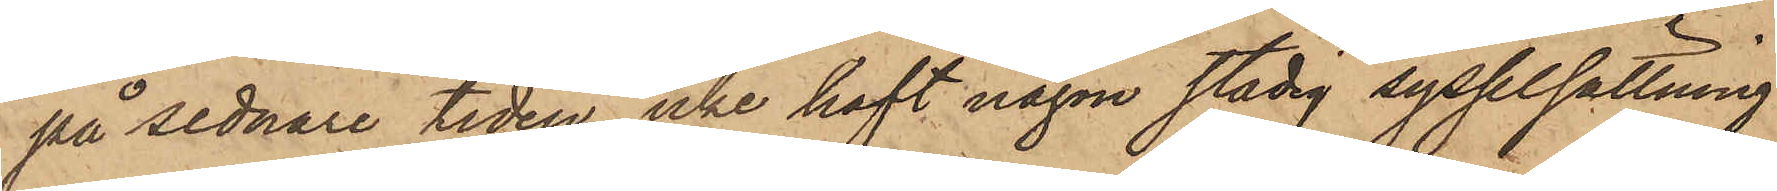på sednare tiden icke haft någon stadig sysselsättning
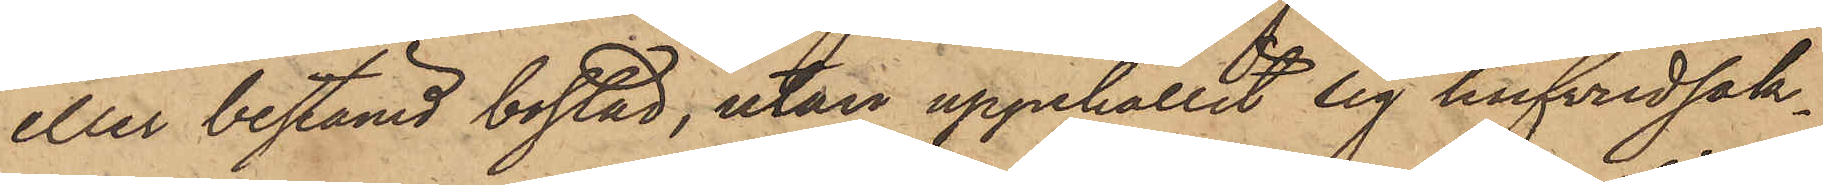eller bestämd bostad, utan uppehållit sig hufvudsak¬
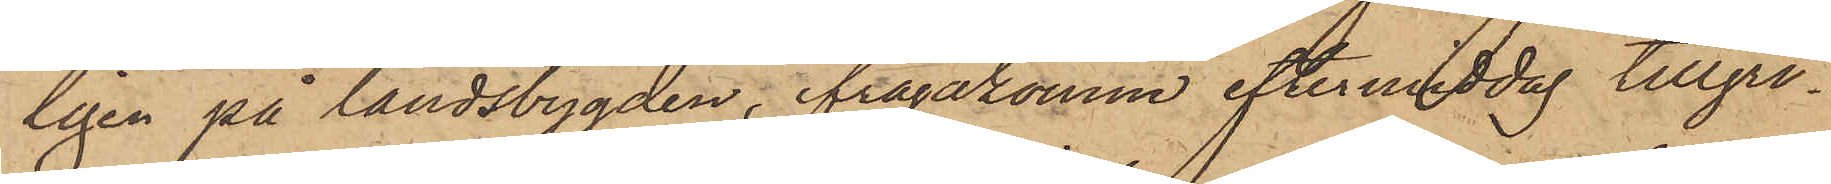ligen på landsbygden, ifrågakomne eftermiddag tillgri¬
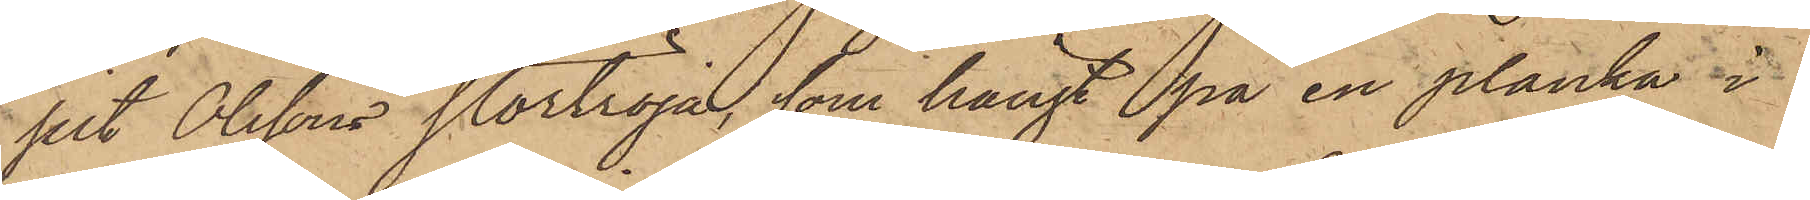pit Olssons stortröja, som hängt på en planka i
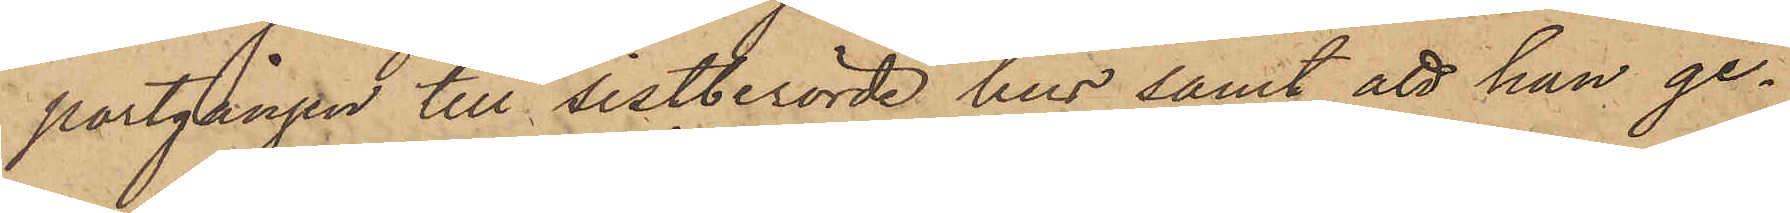portgången till sistberörde hus samt att han ge¬
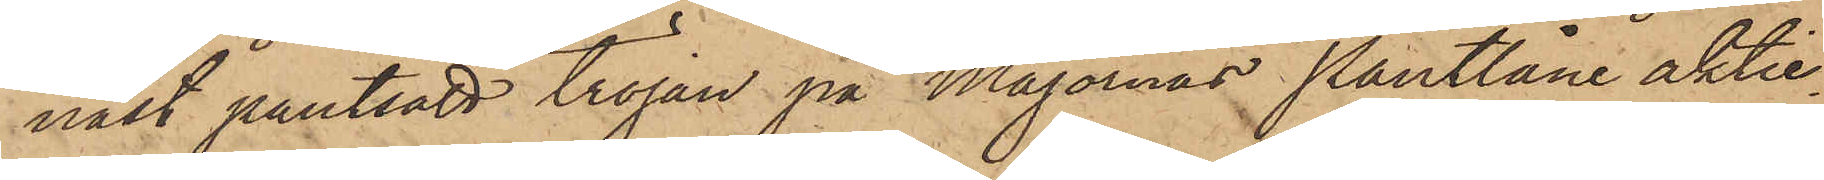nast pantsatt tröjan på Majornas Pantlåne aktie¬
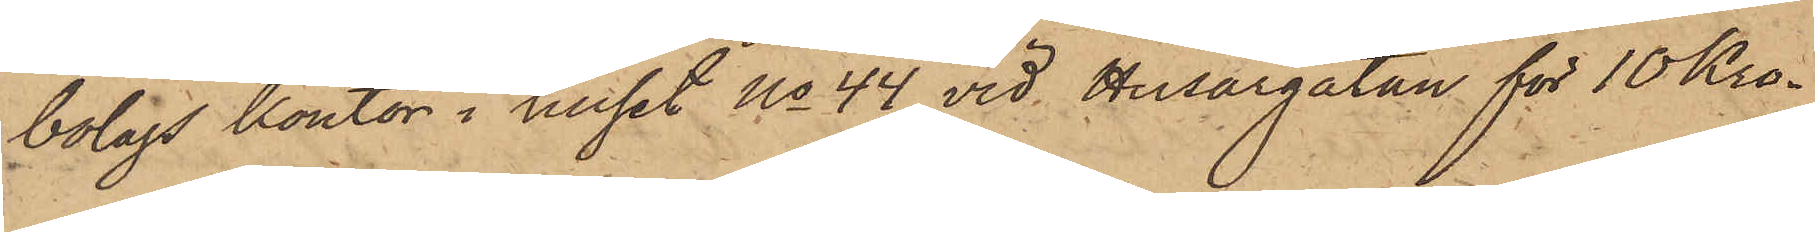bolags kontor i huset No 44 vid Husargatan för 10 Kro¬
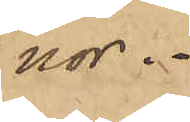nor.
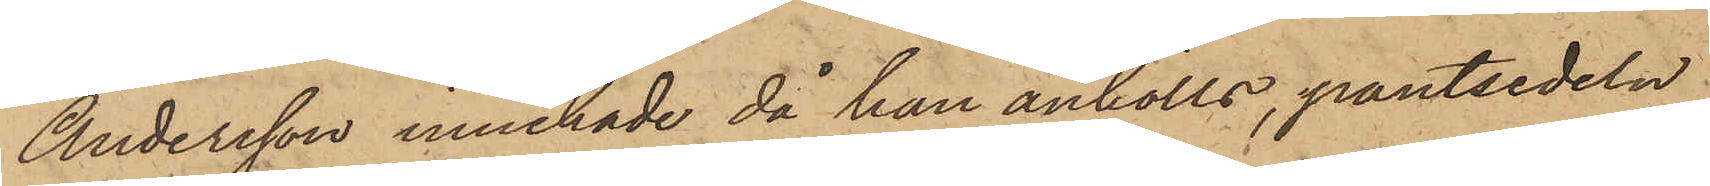Andersson innehade då han anhölls, pantsedeln
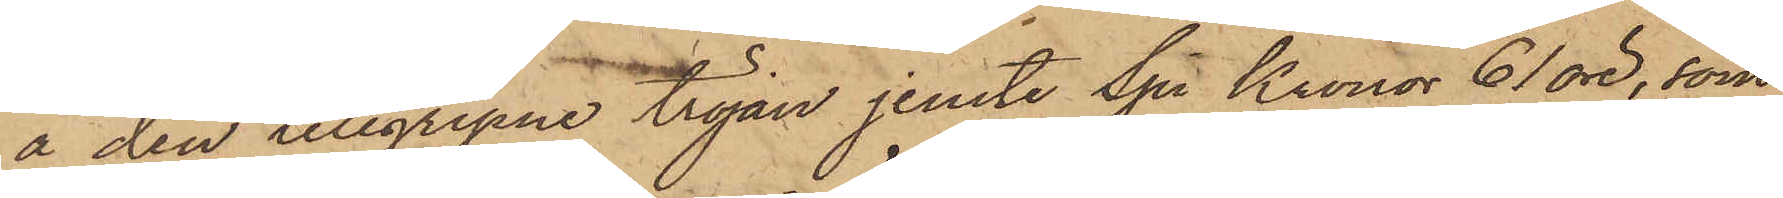å den tillgripne tröjan jemte Sju Kronor 61 öre, som
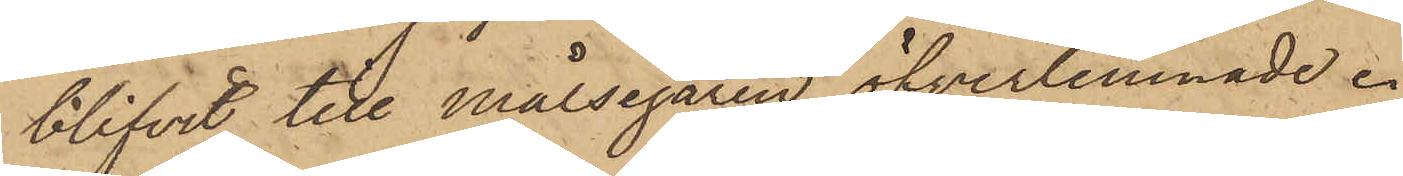blifvit till Målsegaren öfverlemnade.
